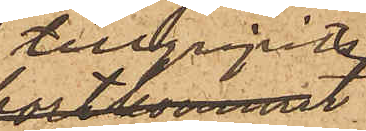tillgripits
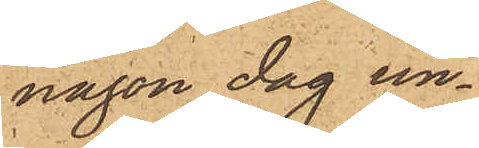någon dag un¬
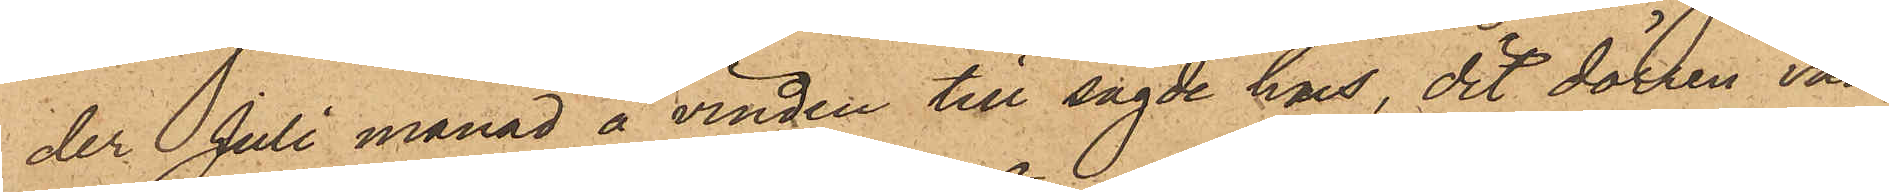der Juli månad å vinden till sagde hus, dit dörren van¬
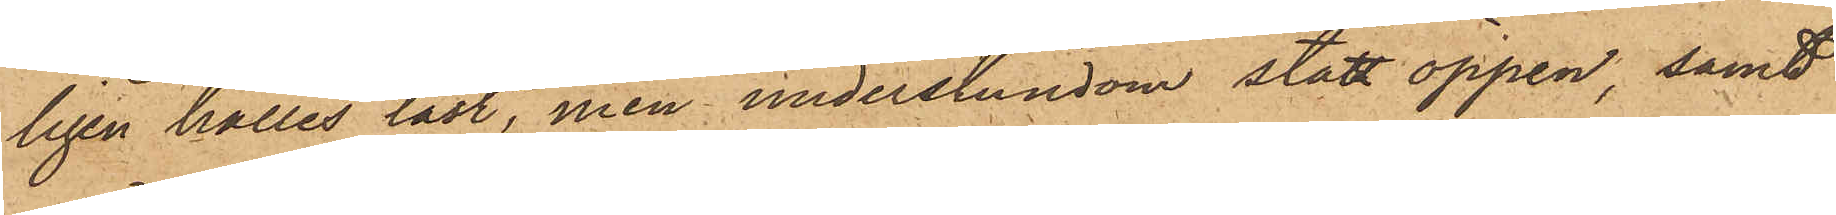ligen hålles låst, men understundom stått öppen, samt
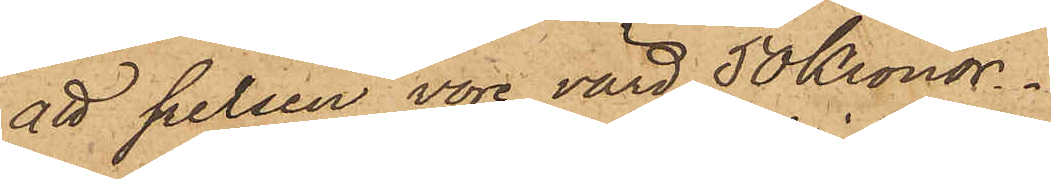att pelsen vore värd 50 Kronor.
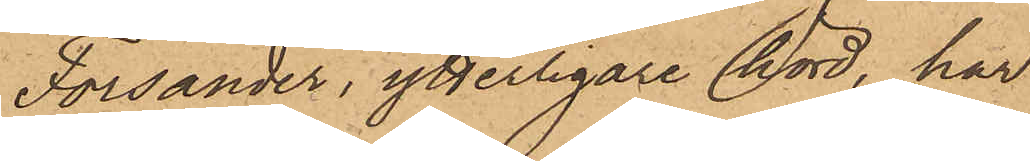Forsander, ytterligare hörd, har
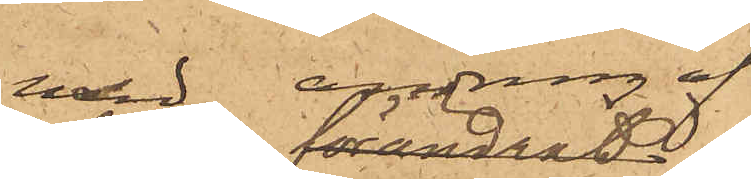utan andring af
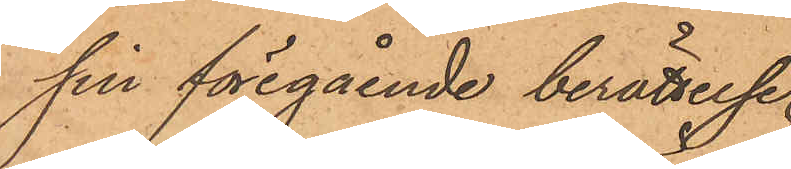sin föregående berättelse¬
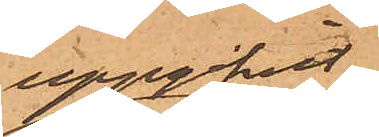uppgifvit
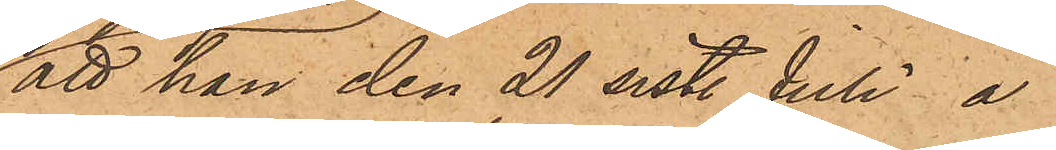att han den 21 sist. Juli å
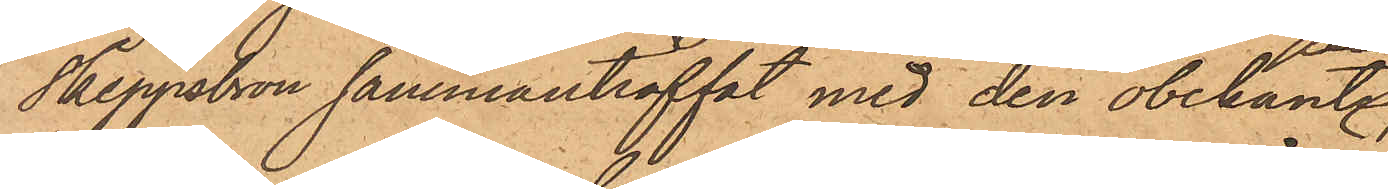Skeppsbron sammanträffat med den obekante,
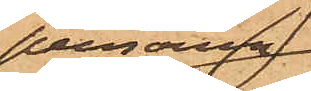personen,
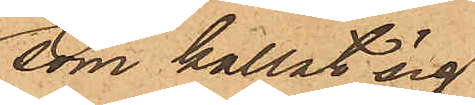som kallat sig
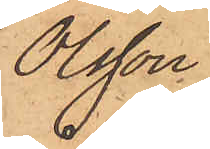Olsson
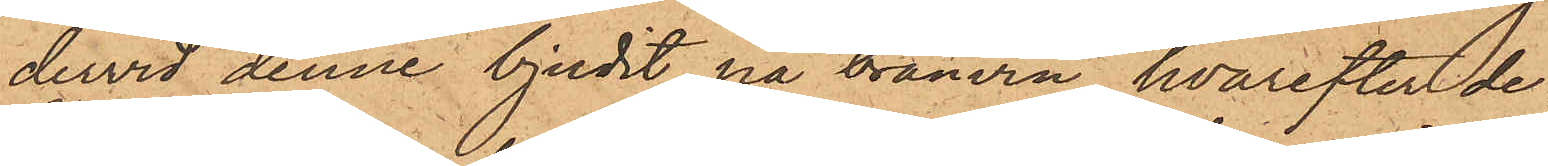dervid denne bjudit på brännvin, hvarefter de
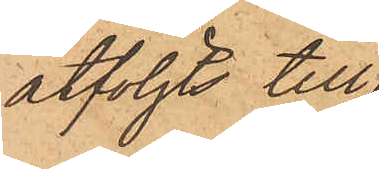åtföljts till¬
